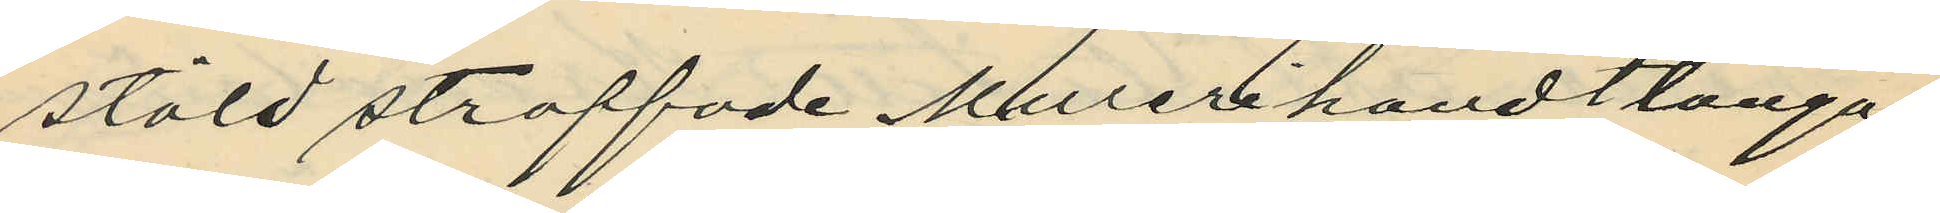stöld straffade Murerihandtlanga¬
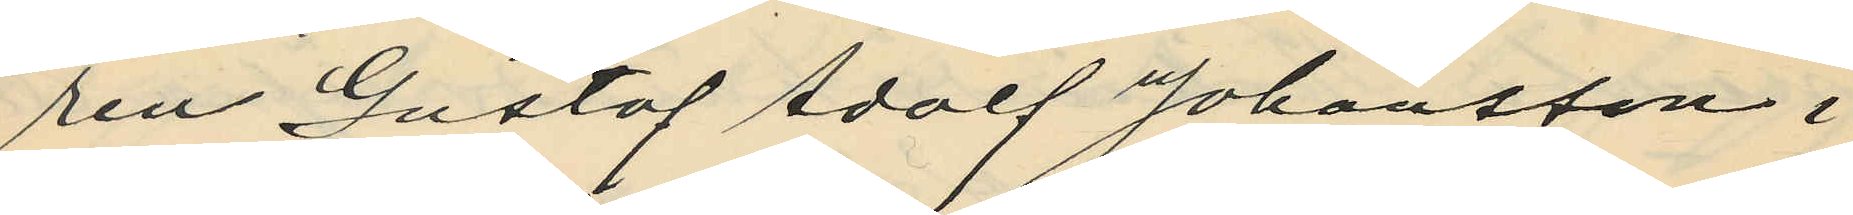ren Gustaf Adolf Johansson i
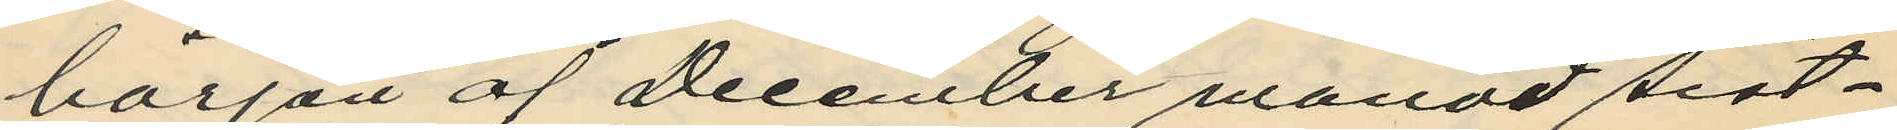början af December månad sist¬
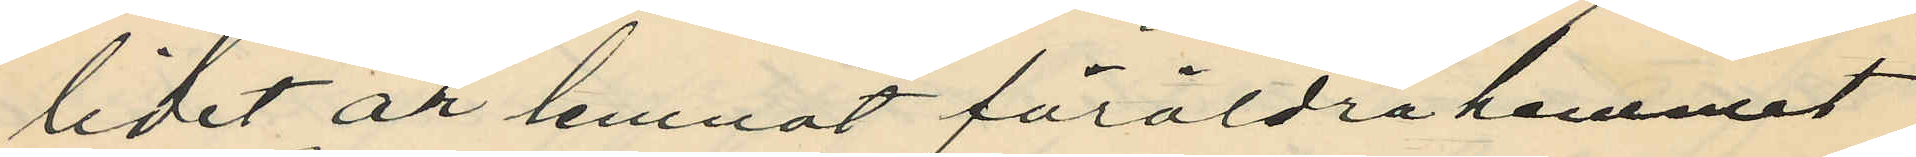lidet år lemnat föräldrahemmet
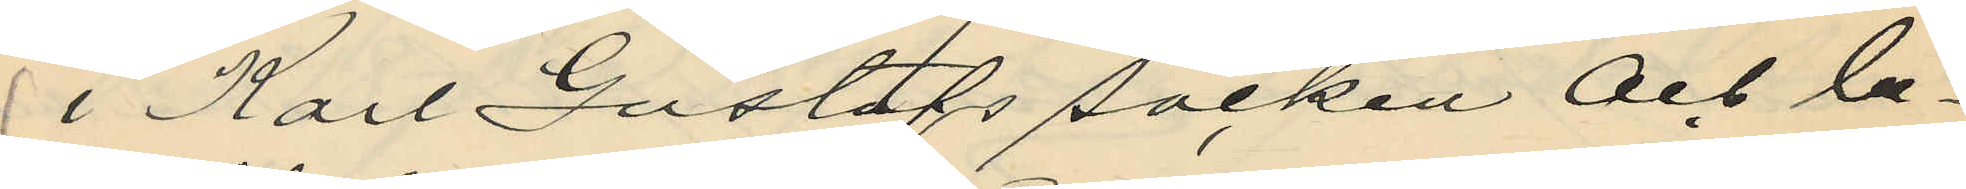i Karl Gustafs socken och be¬
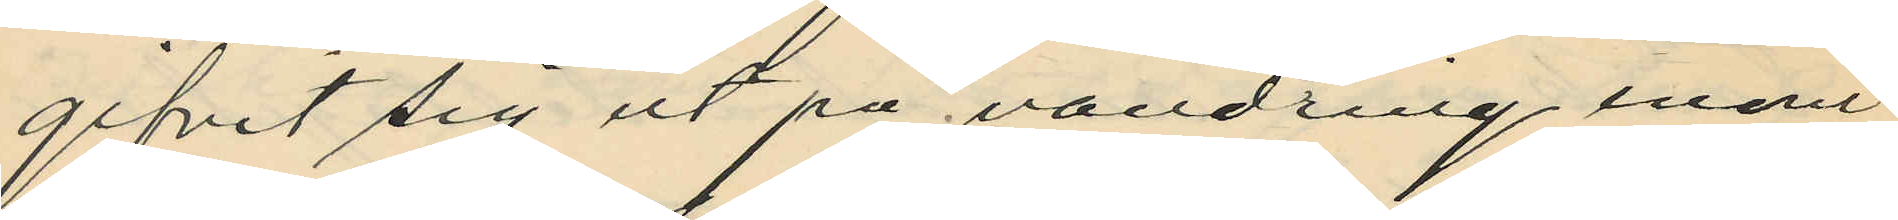gifvit sig ut på vandring inom
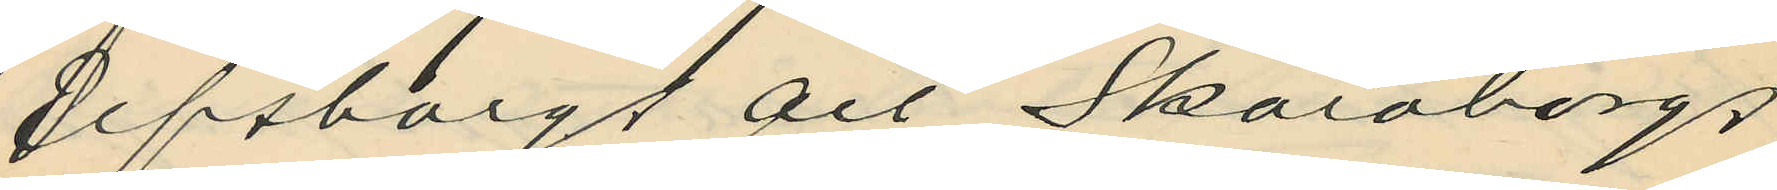Elfsborgs och Skaraborgs
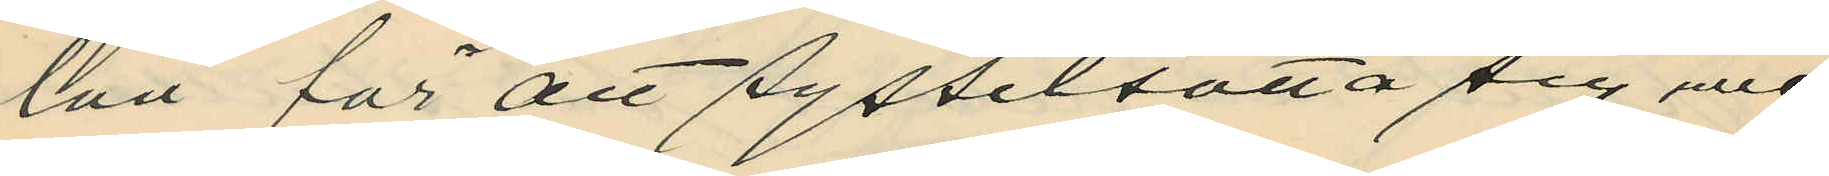län för att sysselsätta sig med
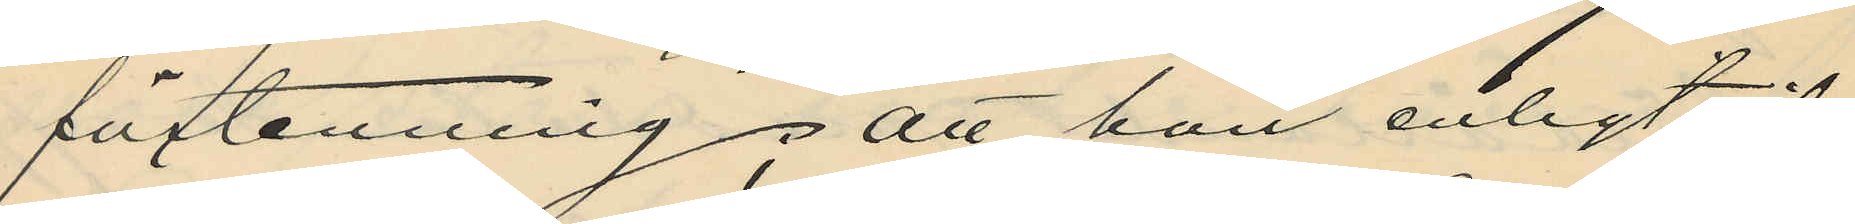förtenning; att han enligt öf¬
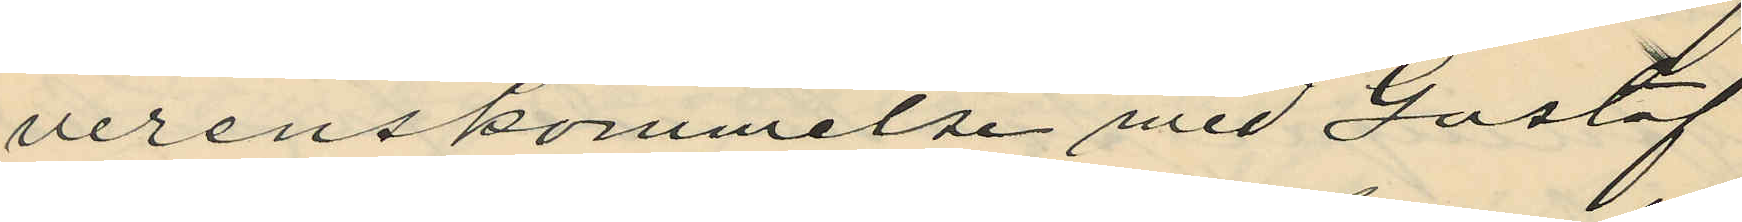verenskommelse med Gustaf
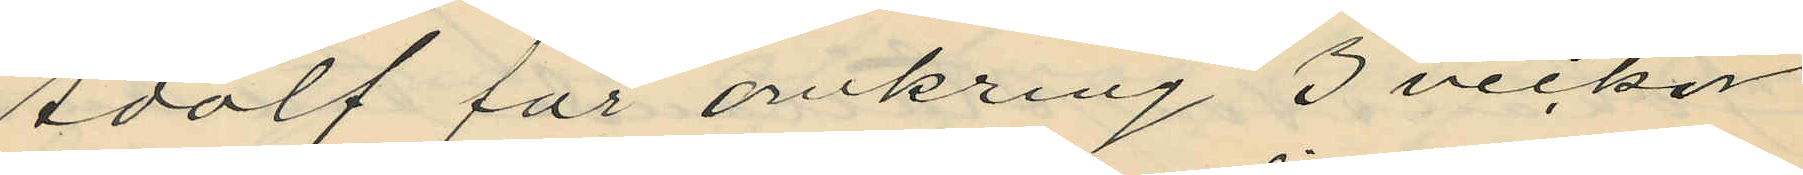Adolf för omkring 3 veckor
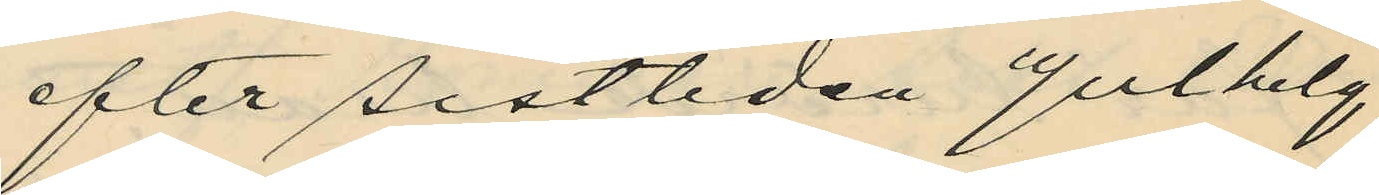sedan efter sistliden Julhelg
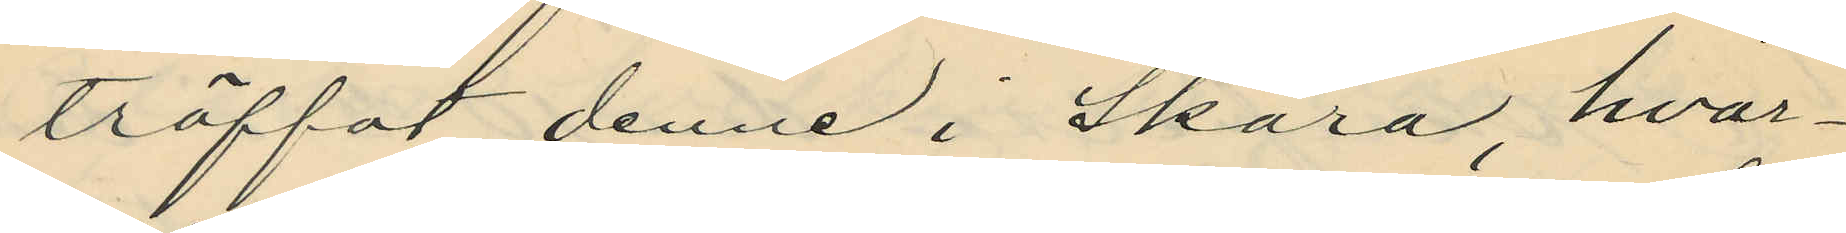träffat denne i Skara, hvar¬
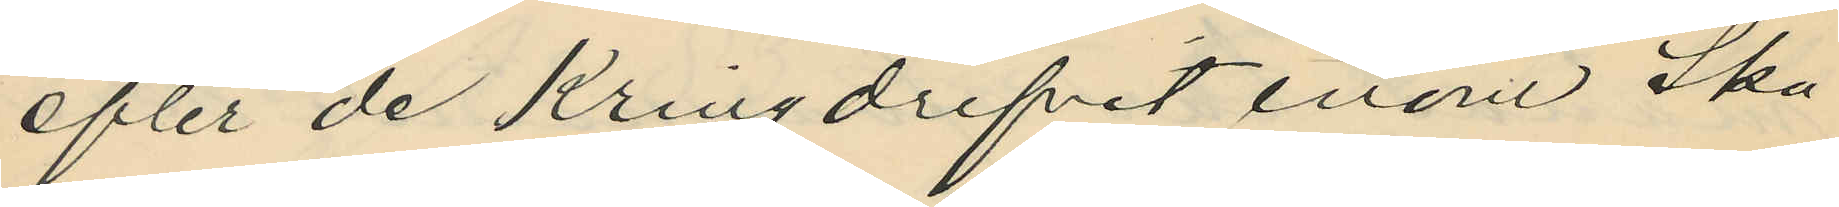efter de kringdrifvit inom Ska¬
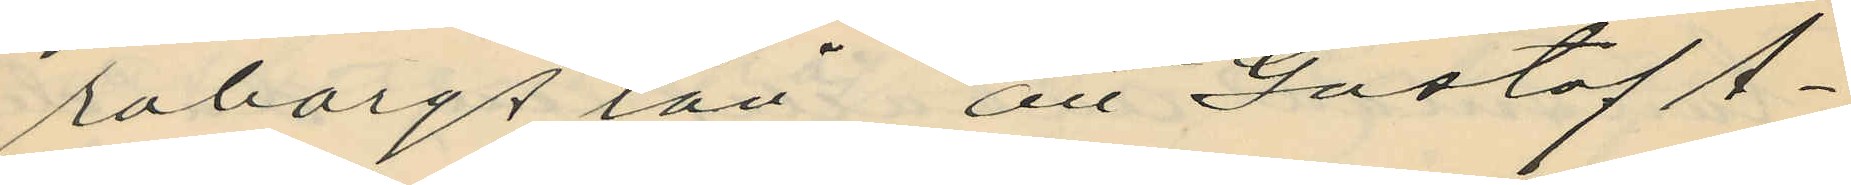raborgs län, att Gustaf A¬
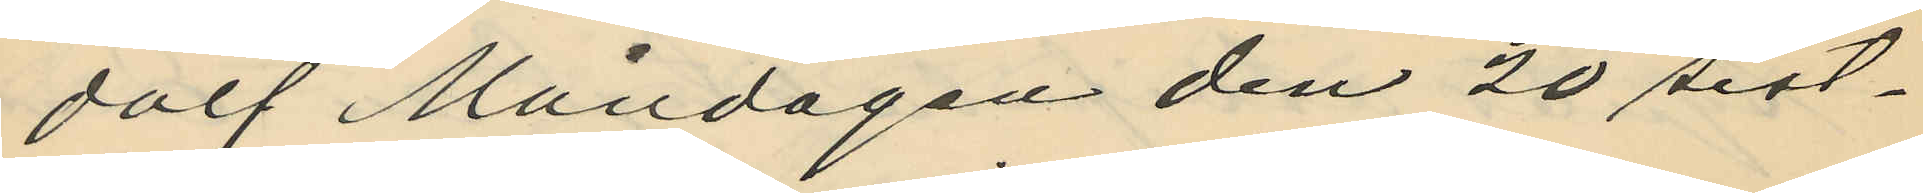dolf Måndagen den 20 sist¬
